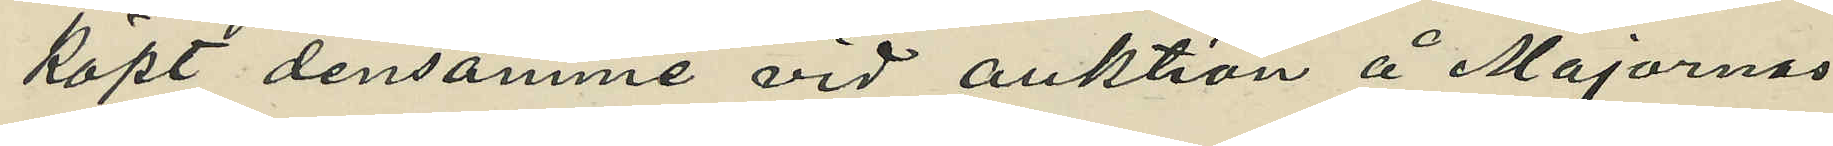köpt densamme vid auktion å Majornas
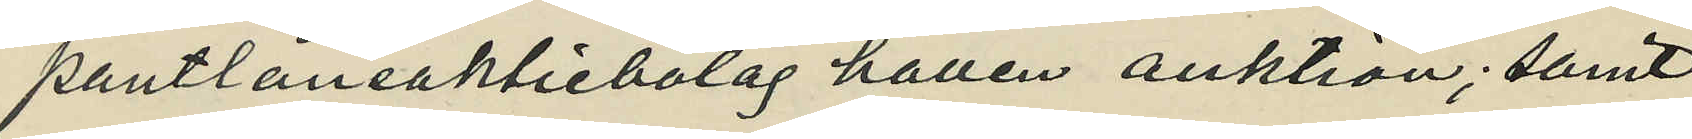pantlåneaktiebolag hållen auktion; samt
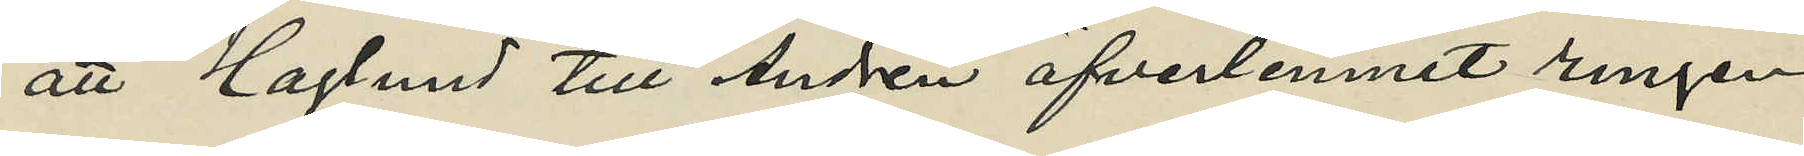att Haglund till Andrén öfverlemnat ringen
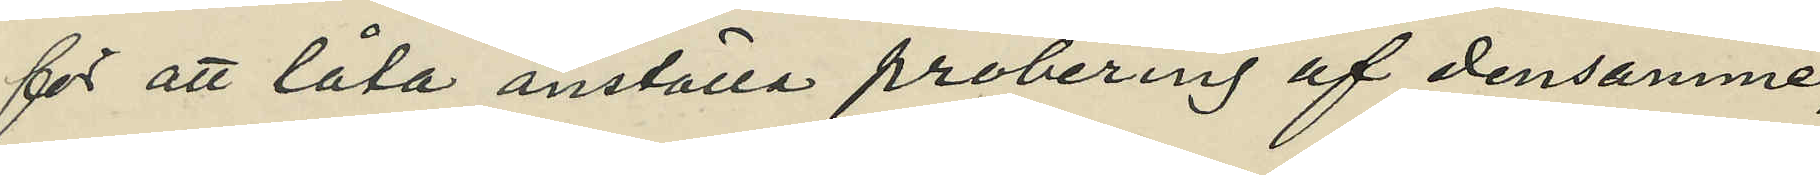för att låta anställa probering af densamme,
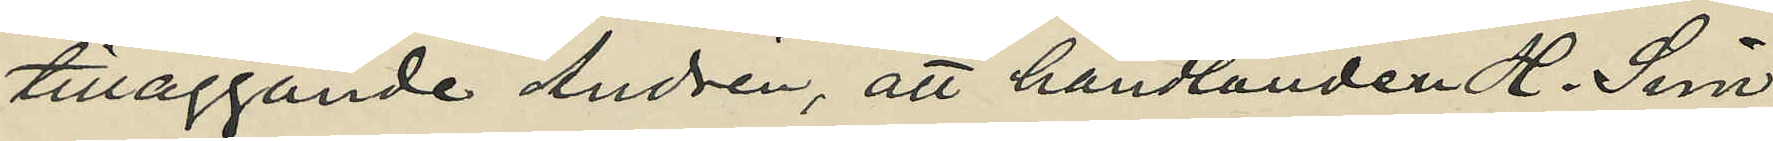tilläggande Andrén, att handlanden H. Sim¬
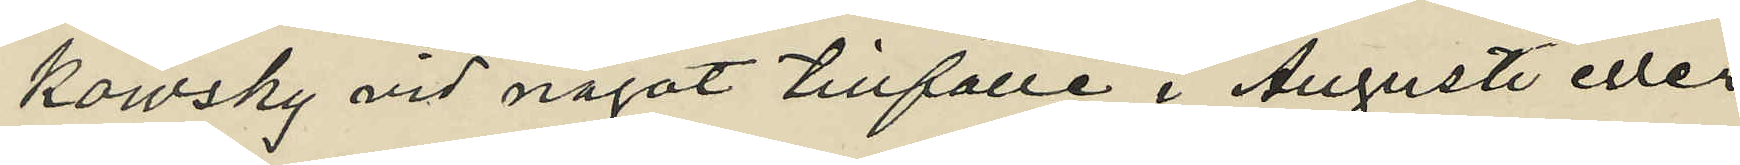kowsky vid något tillfälle i Augusti eller
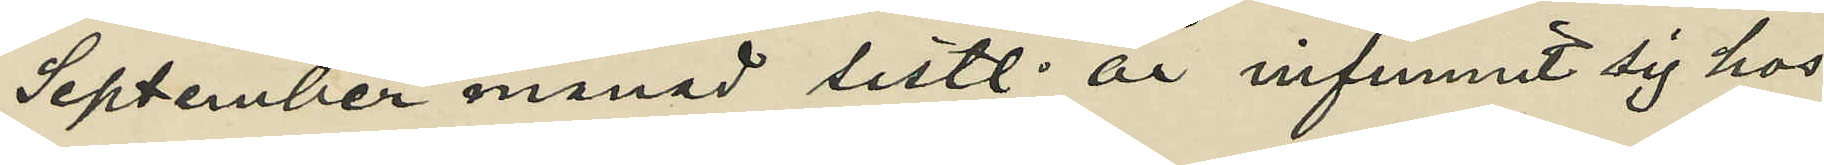September månad sistl. år infunnit sig hos
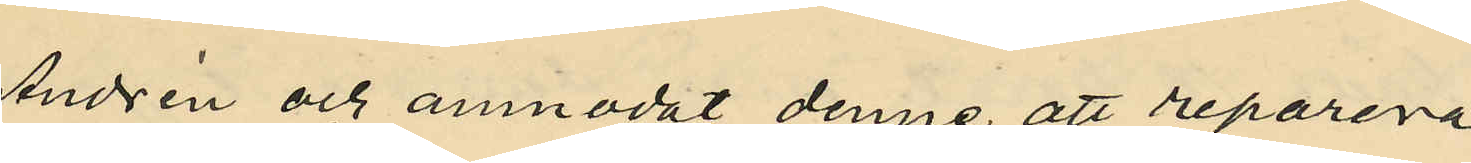Andrén och anmodat denne att reparera
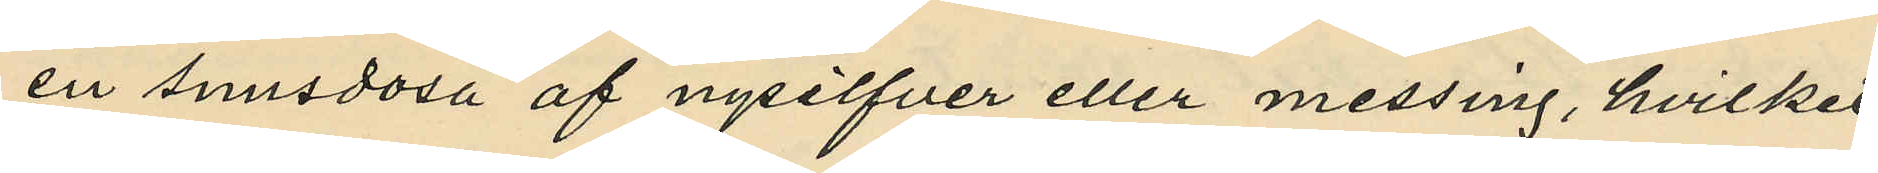en snusdosa af nysilfver eller messing, hvilket
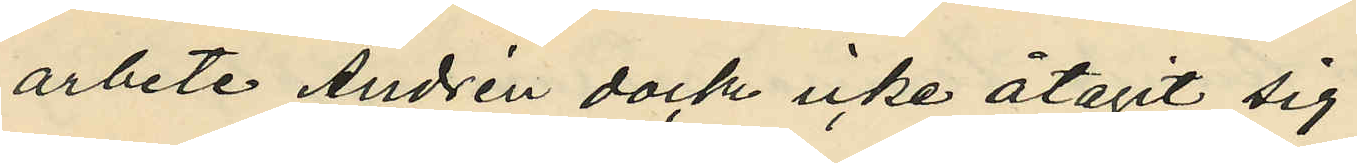arbete Andrén dock icke åtagit sig;
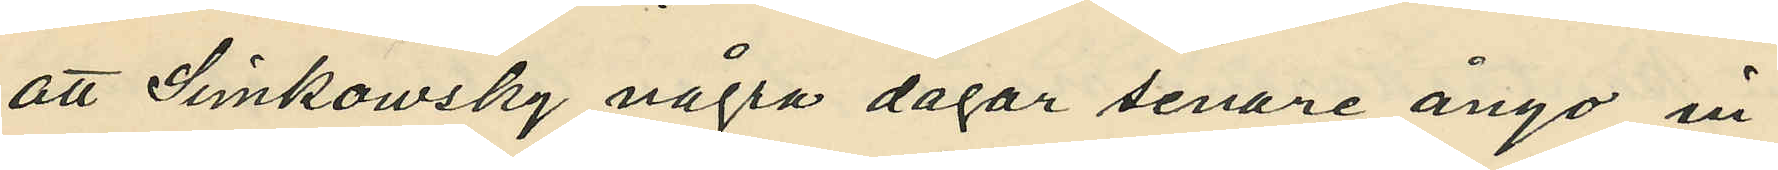att Simkowsky några dagar senare ånyo in¬
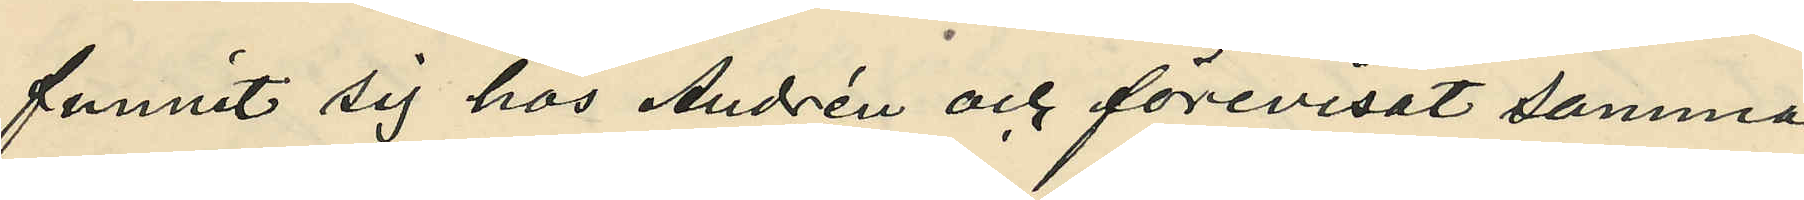funnit sig hos Andrén och förevisat samma
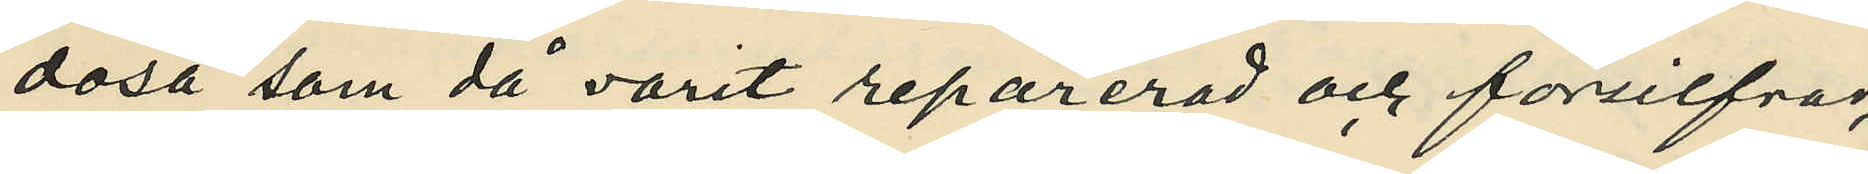dosa som då varit reparerad och försilfrad,
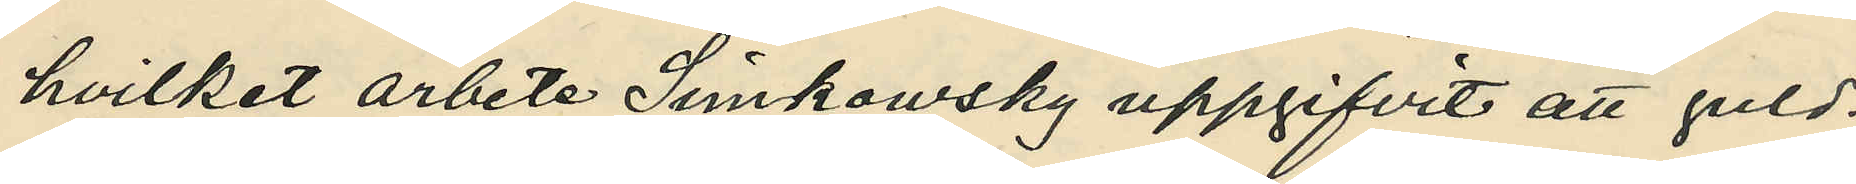hvilket arbete Simkowsky uppgifvit att guld¬
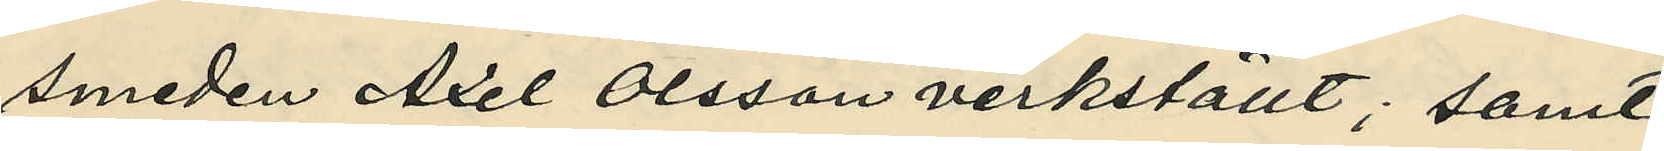smeden Axel Olsson verkställt; samt
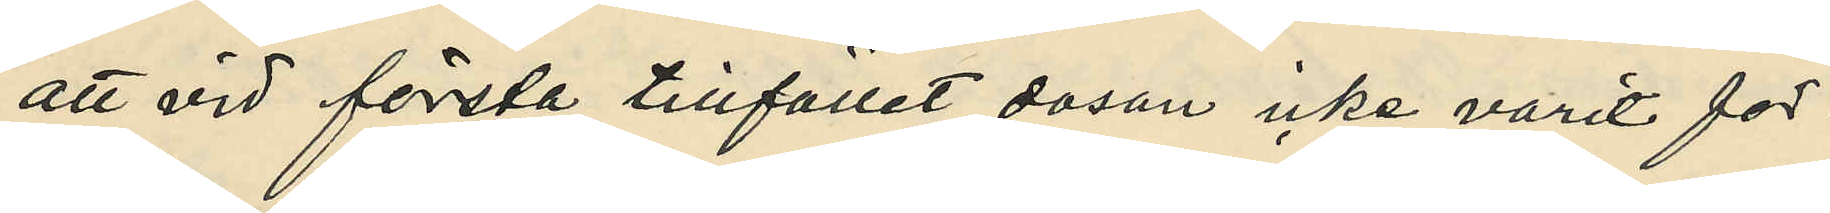att vid första tillfället dosan icke varit för¬
